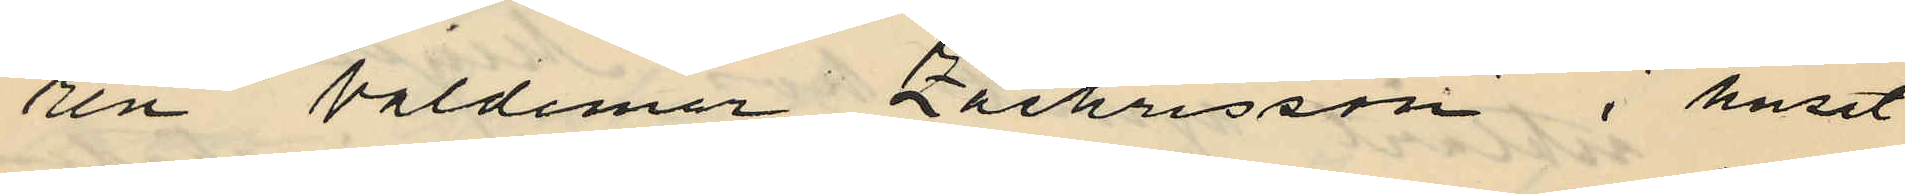ren Valdemar Zachrisson i huset
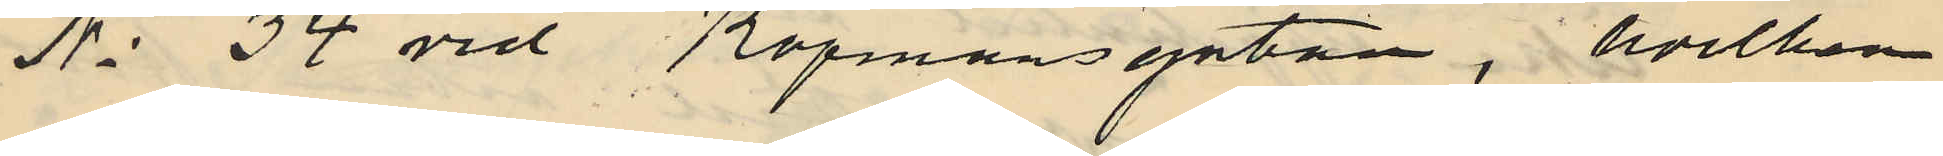No 34 vid Köpmansgatan, hvilken
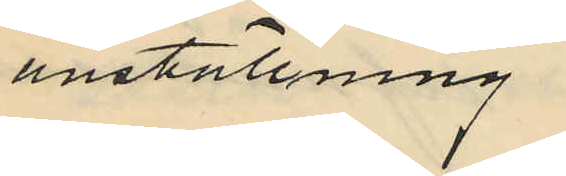anställning
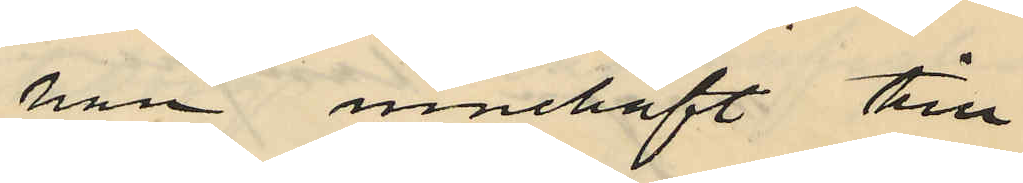han innehaft till
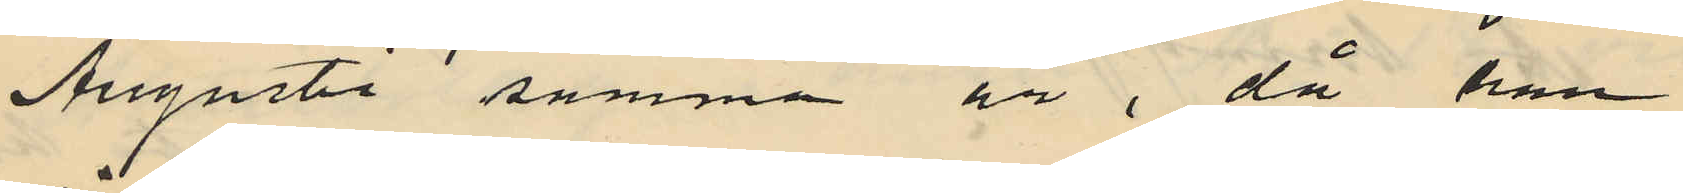Augusti samma år, då han
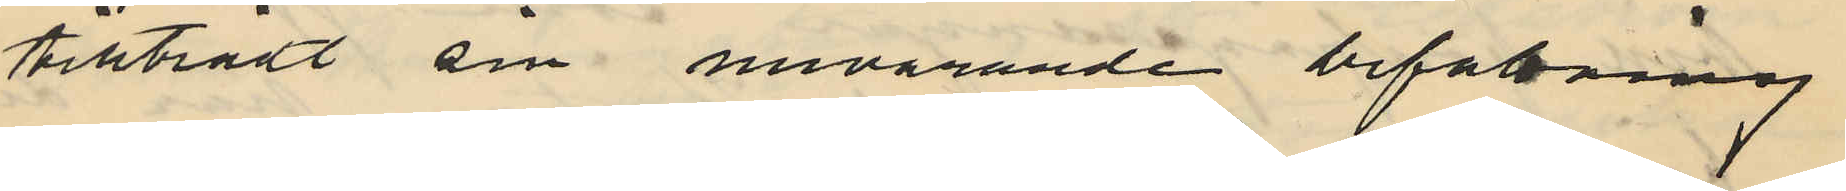tillträdt sin nuvarande befattning
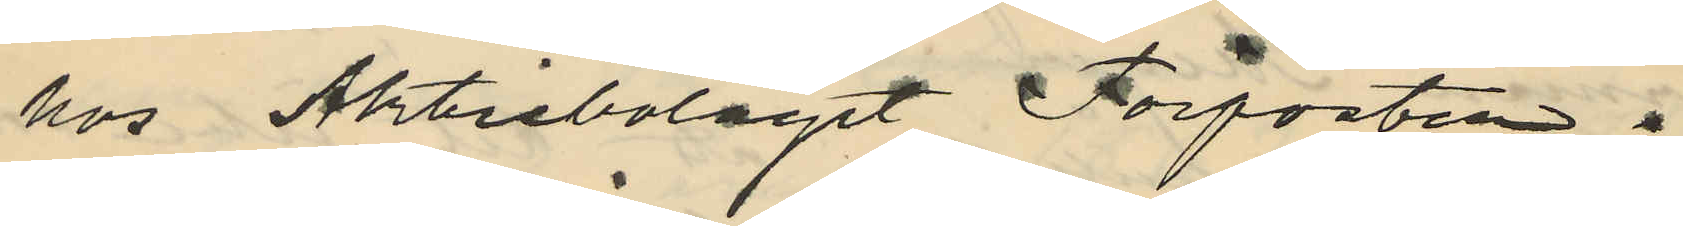hos Aktiebolaget Förposten;
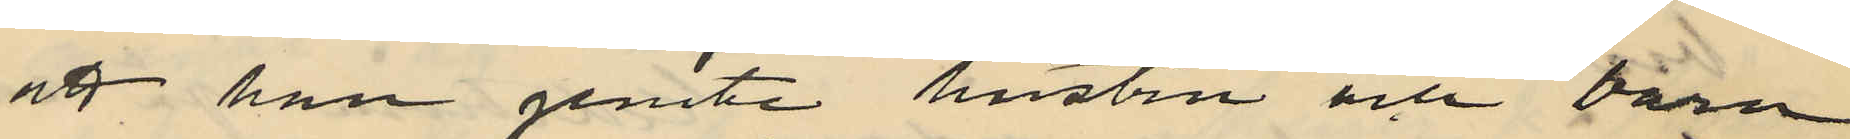att han jemte hustru och barn
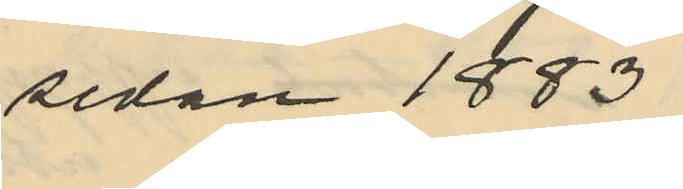sedan 1883
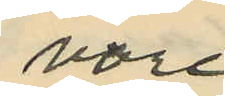vore
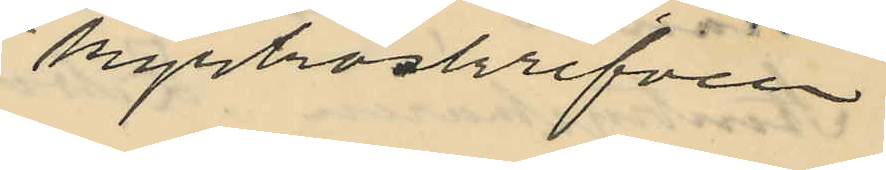kyrkoskrifven
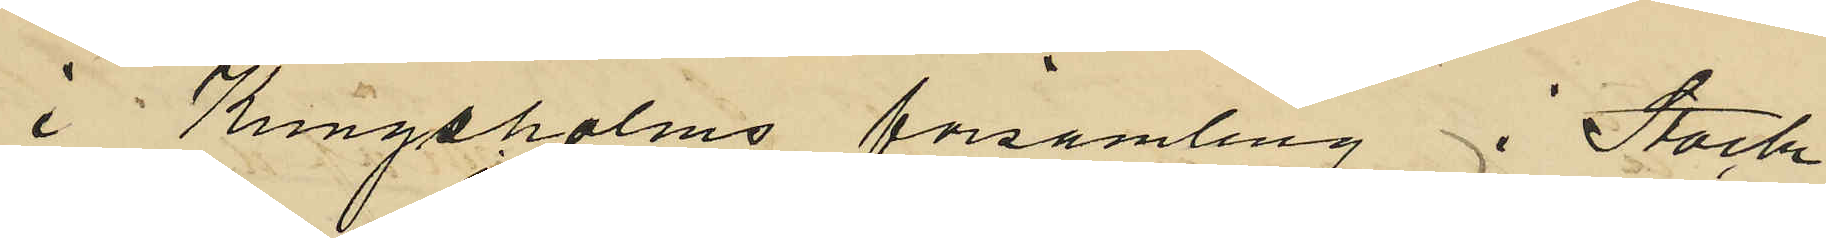i Kungsholms församling i Stock
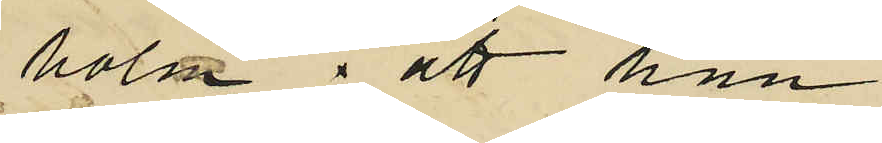holm ; att han
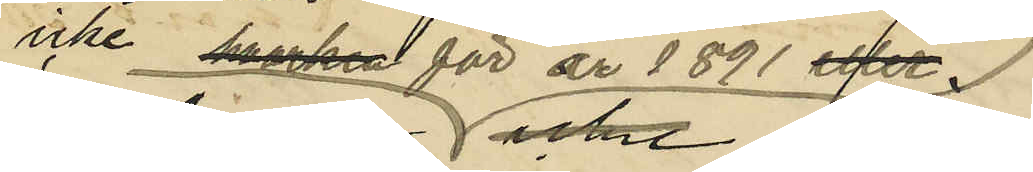icke hvarken för år 1891 eller
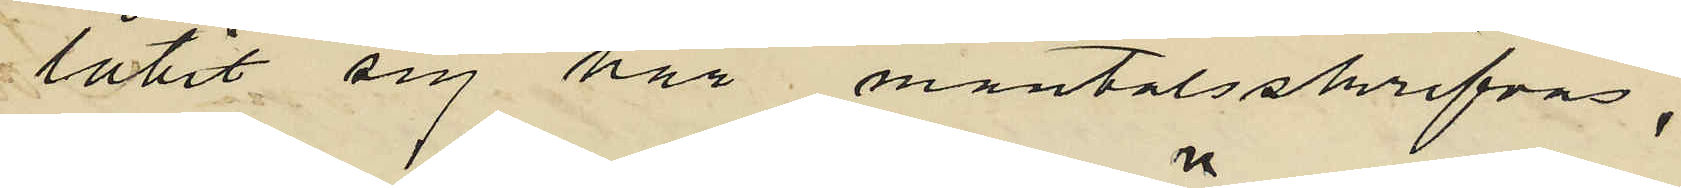låtit sig här mantalsskrifvas,
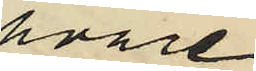hvare¬
